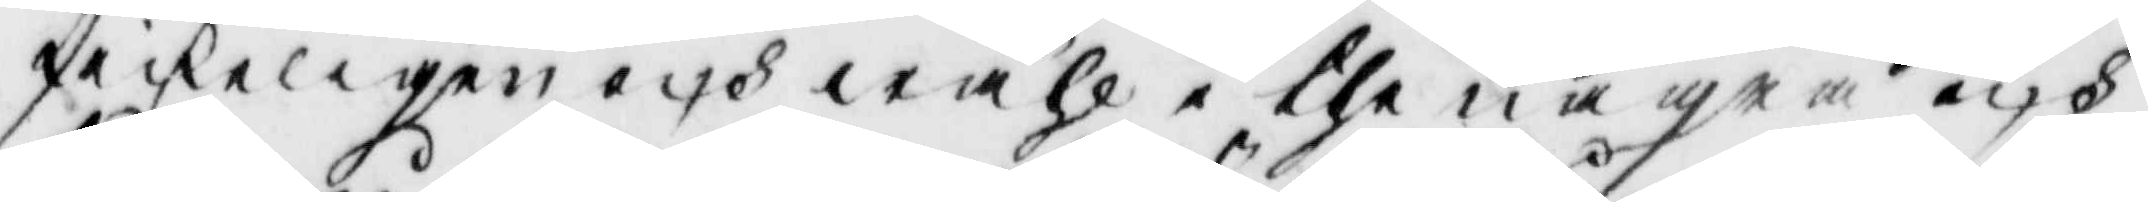skickeligen och wähl i the några och
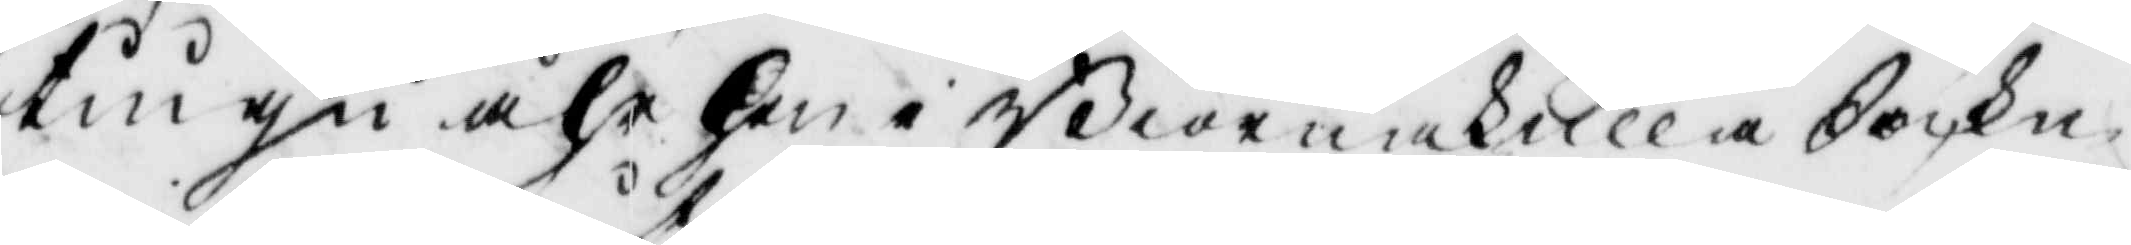tiugu åhr hon i Biörnakulla Sockn
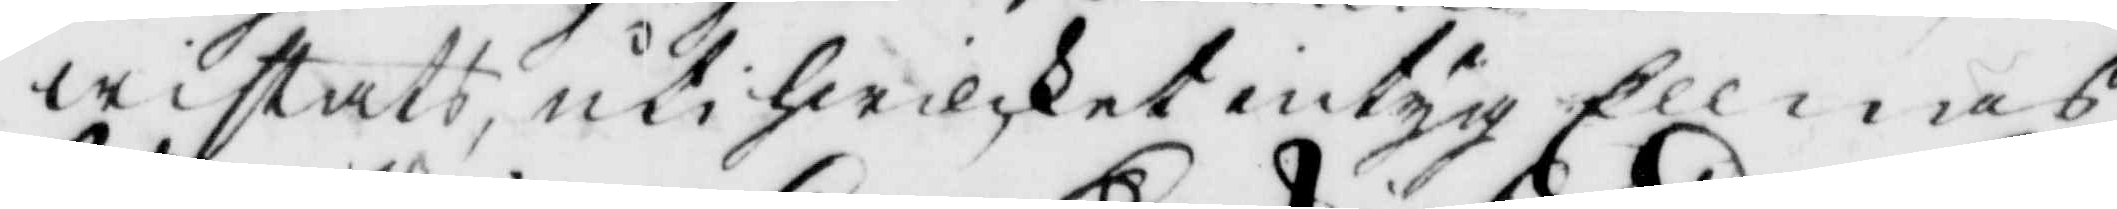wistats, uti hwilket intyg Ellnas
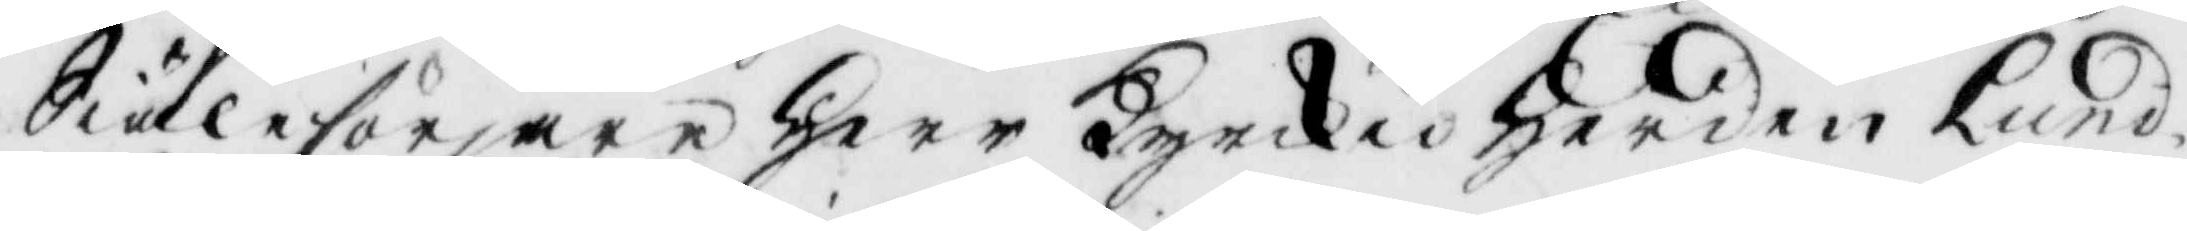Siälesörjare Herr Kyrkioherden Lund¬
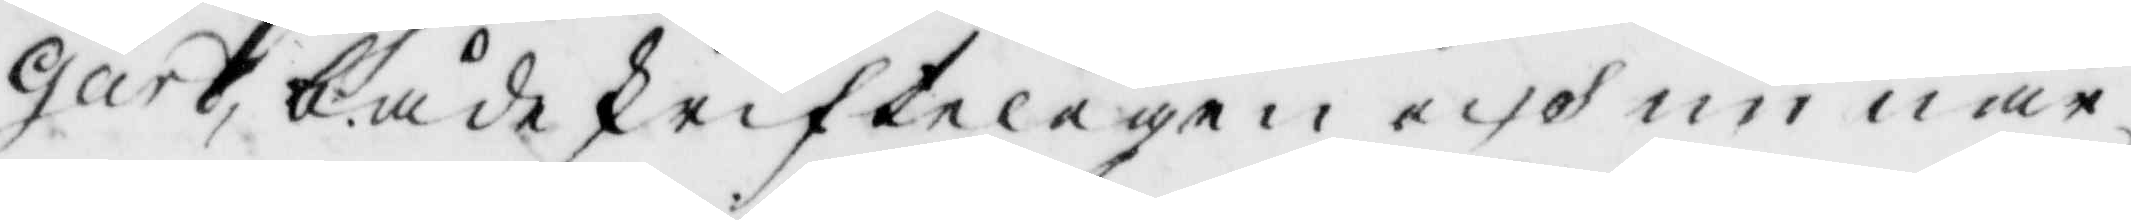gård, både skrifteligen och nu när¬
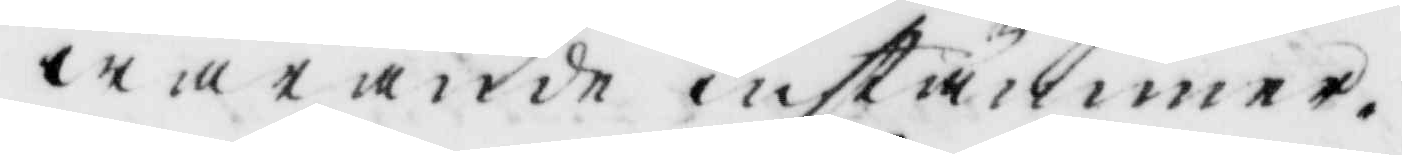warande instämmer.
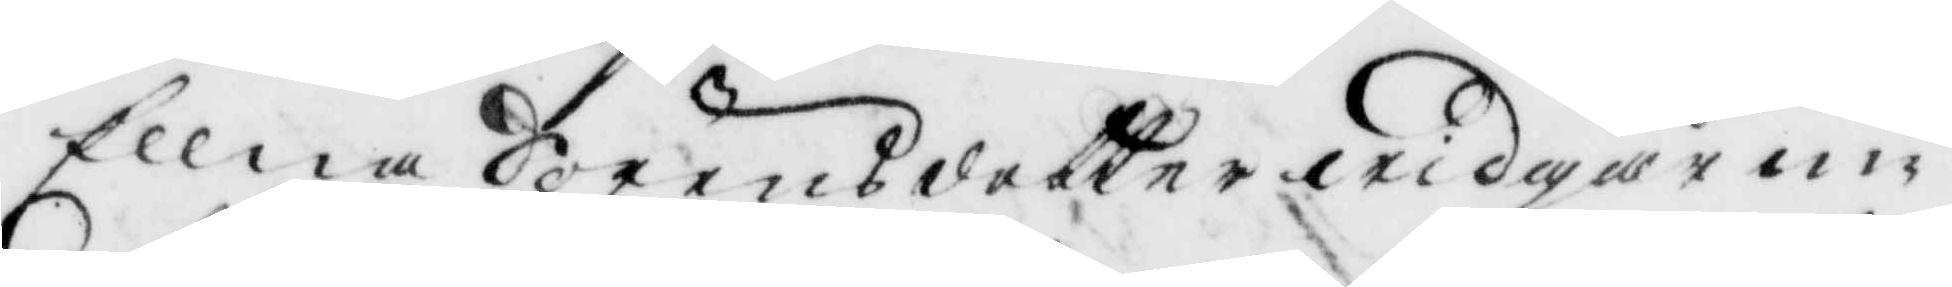Ellna Sörensdotter widgår nu
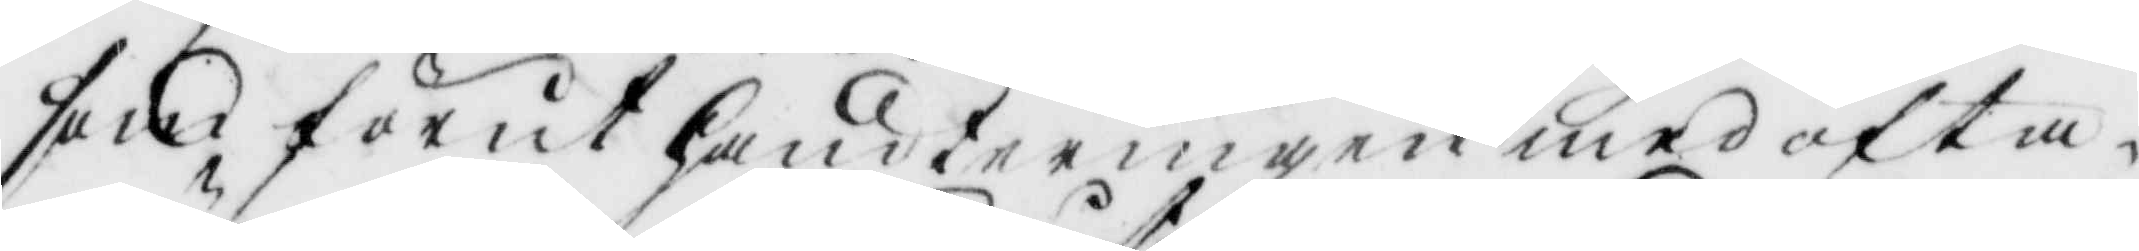som förut handteringen med ofta
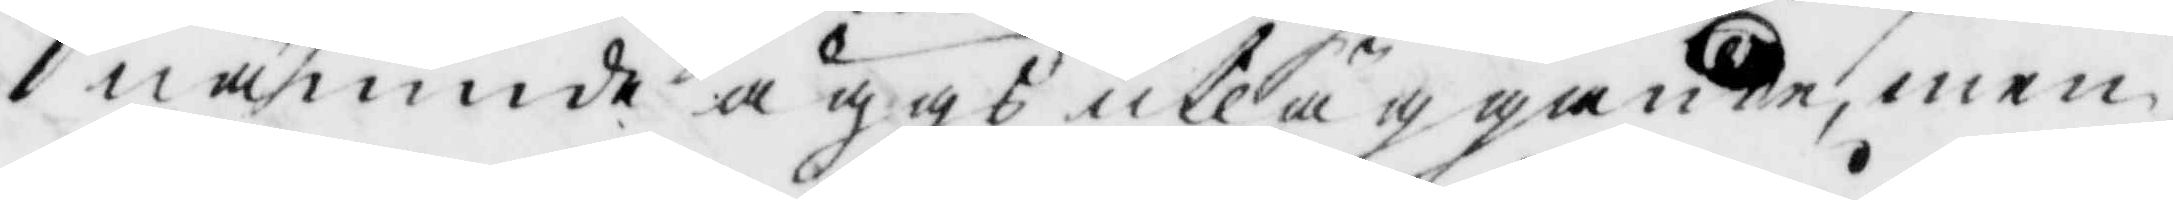nämnde äggs utläggande, men
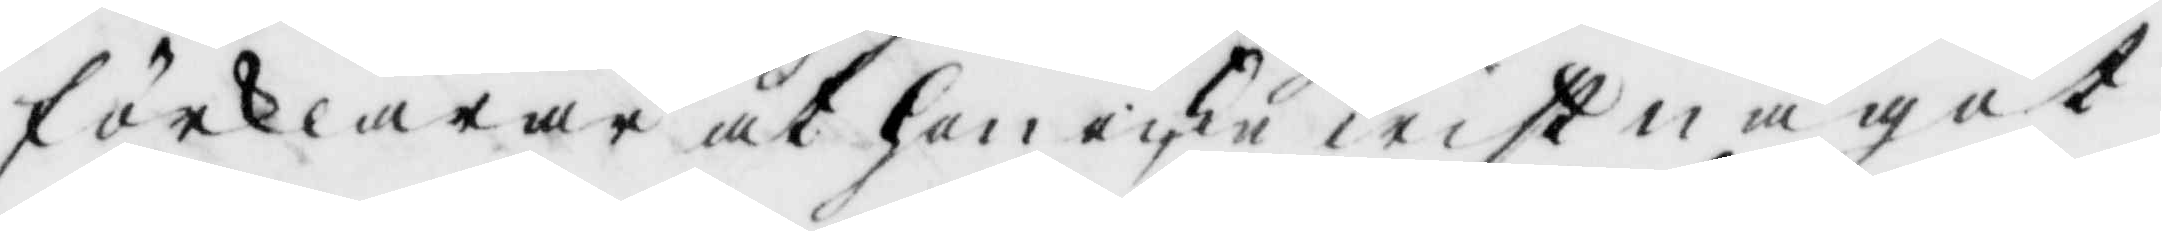förklarar at hon icke wist något
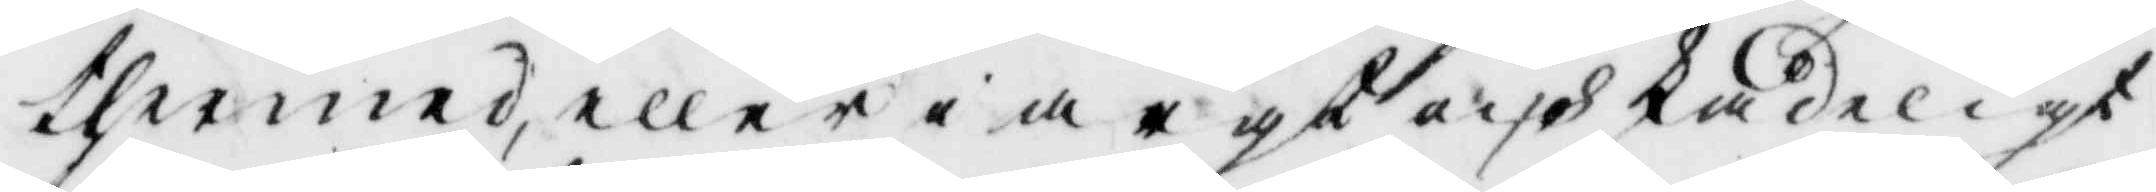thermed, eller i argt och skadeligt
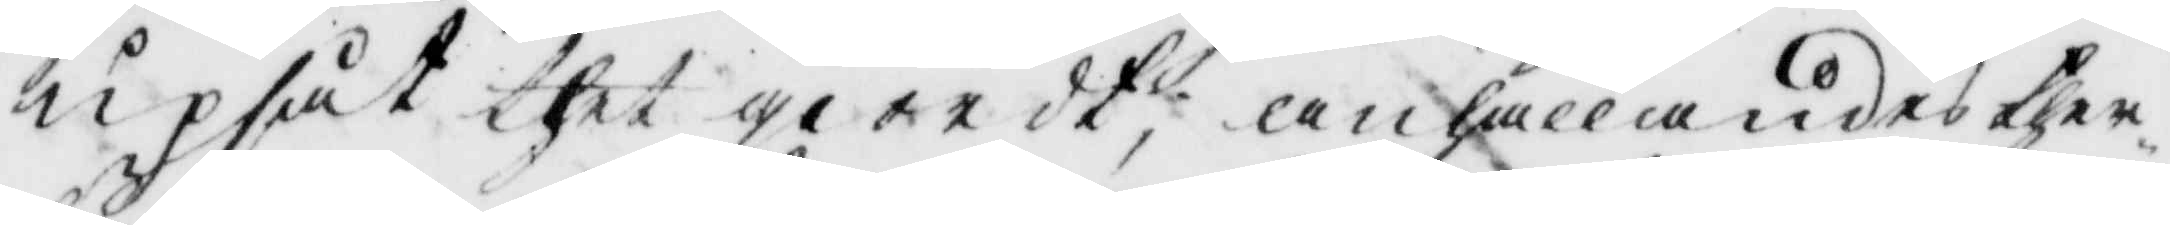upsåt thet giordt, anhållandes ther¬
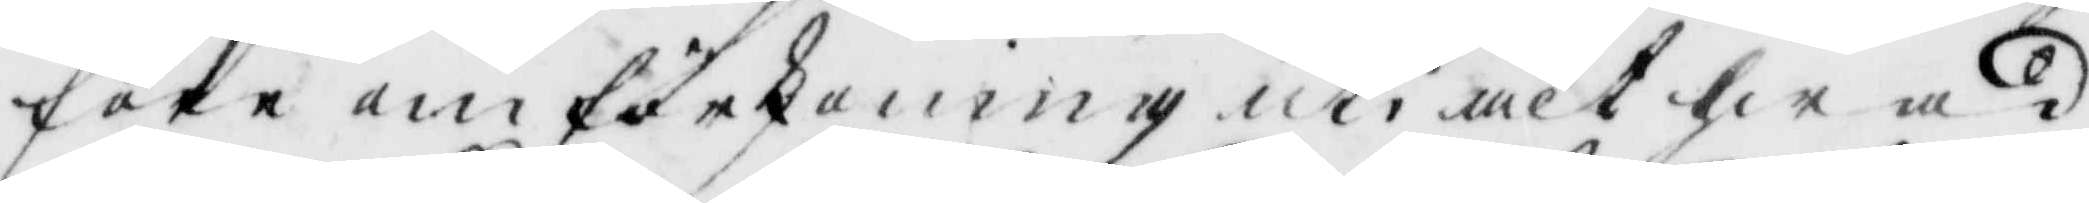före om förskoning uti alt hwad
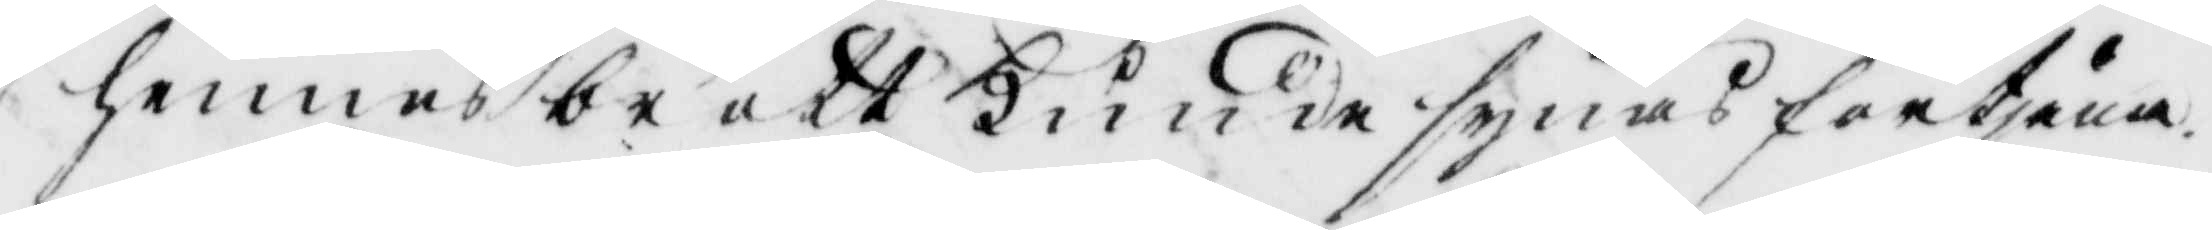hennes brott kunde synas förtjäna.
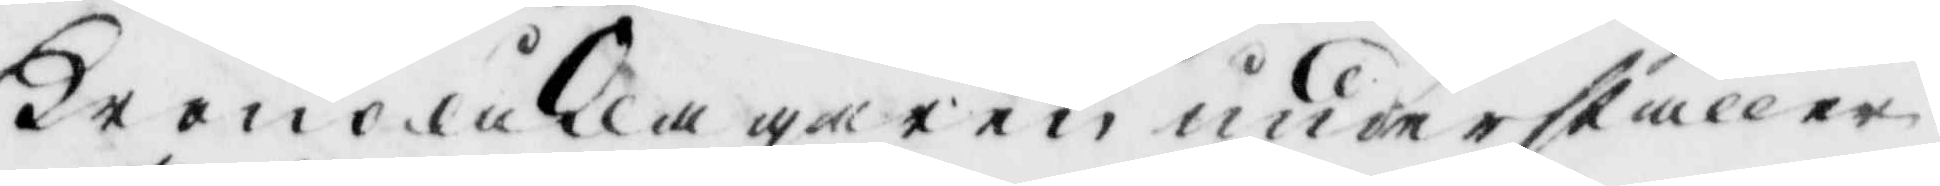Kronoåklagaren underställer
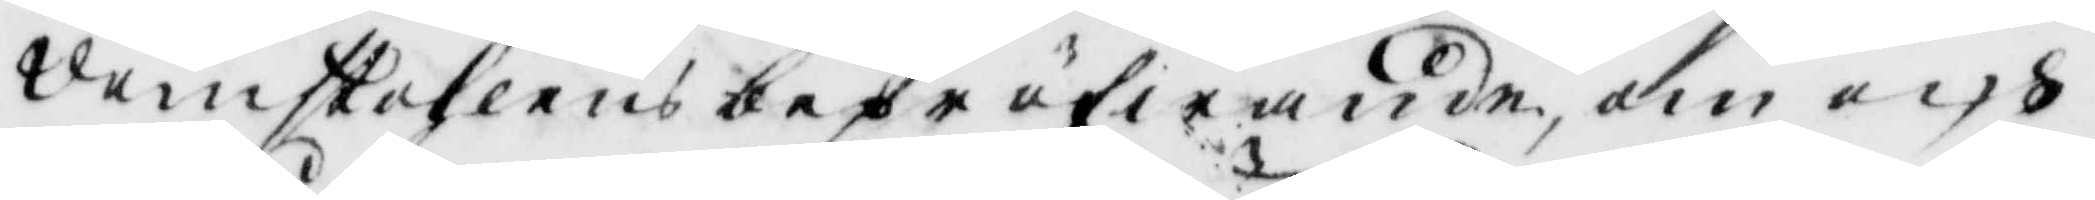domstohlens bepröfwande, om och
